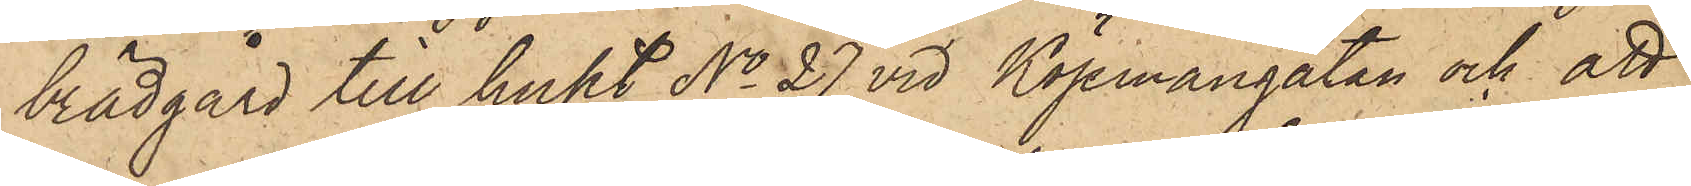brädgård till huset No 27 vid Köpmangatan och att
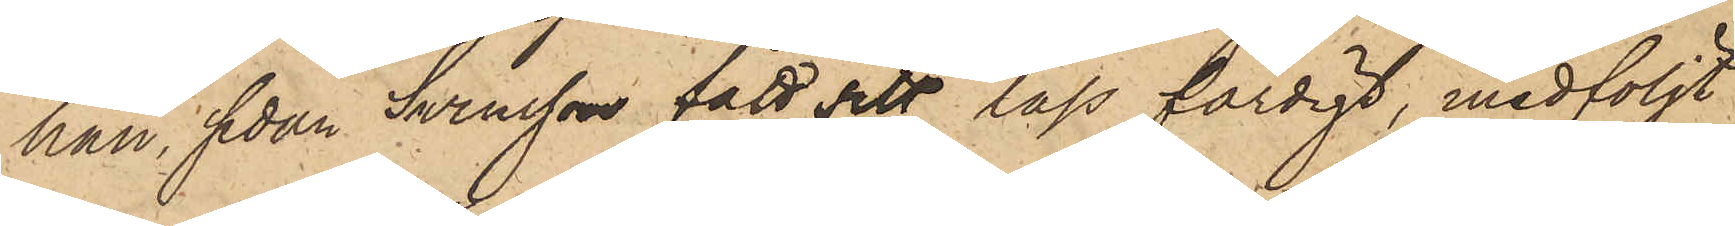han, sedan Svensson fått sitt lass färdigt, medföljt
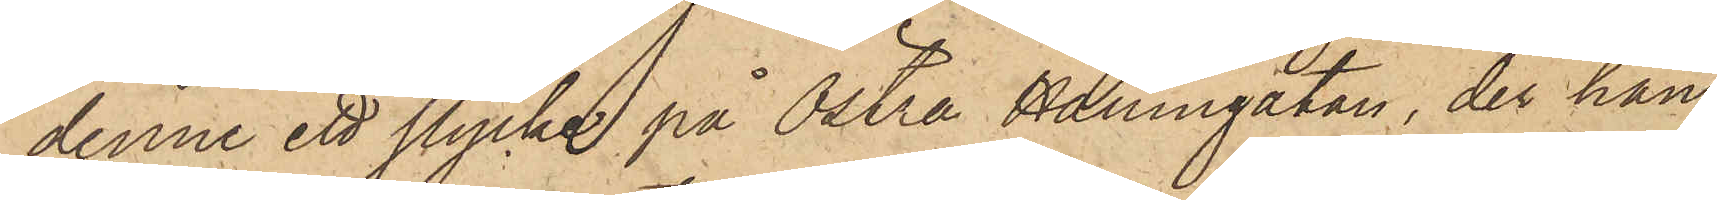denne ett stycke på Östra Hamngatan, der han
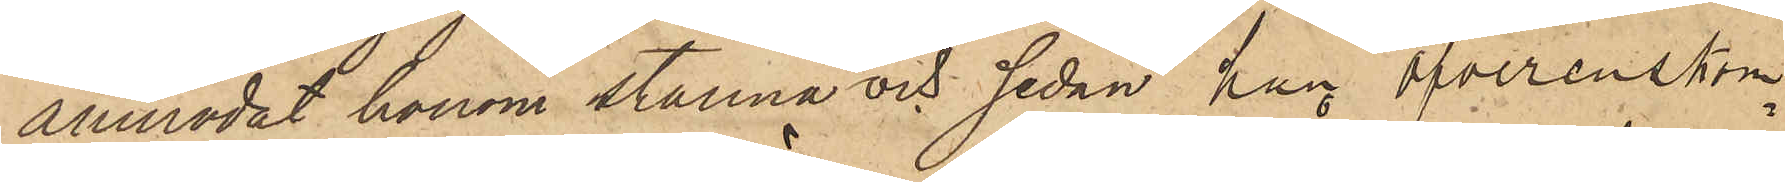anmodat honom stanna och sedan han öfverenskom¬
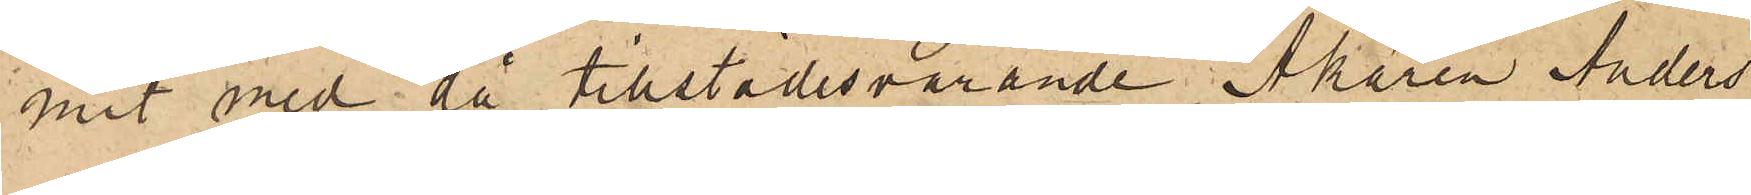mit med då tillstädesvarande Åkaren Anders
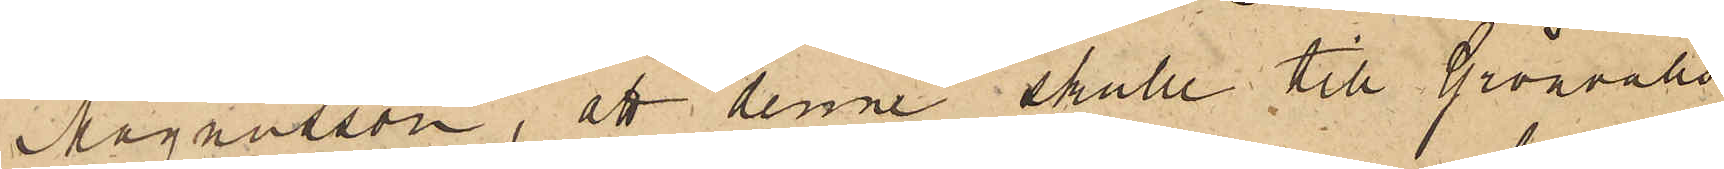Magnusson, att denne skulle till Grönvalls
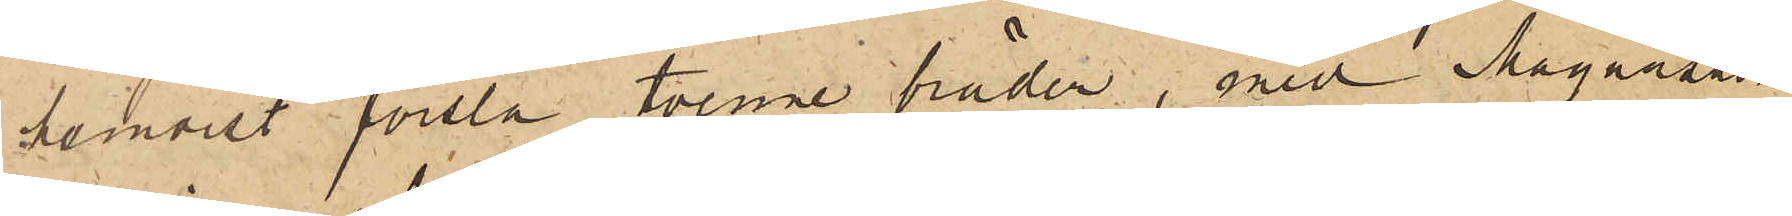hemvist forsla tvenne bräder, med Magnusson
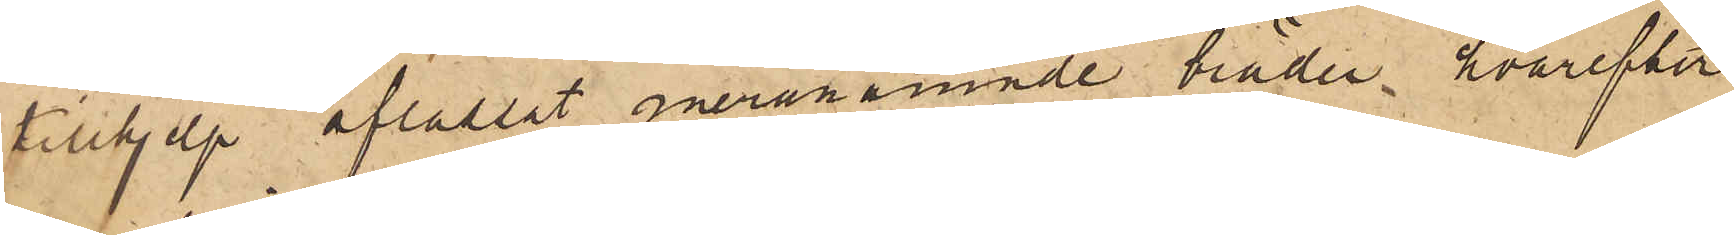tillhjelp aflastat meranämnde bräder, hvarefter
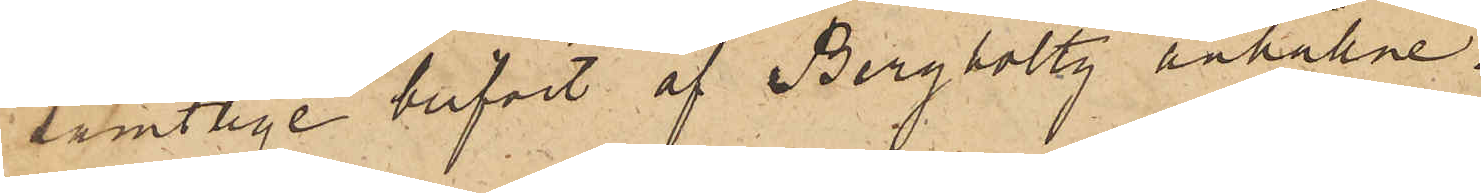samtlige blifvit af Bergholtz anhållne.
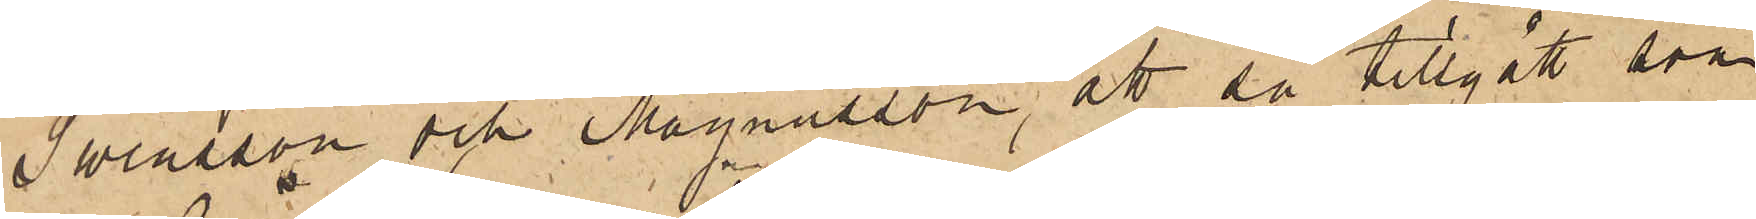Swensson och Magnusson, att så tillgått som
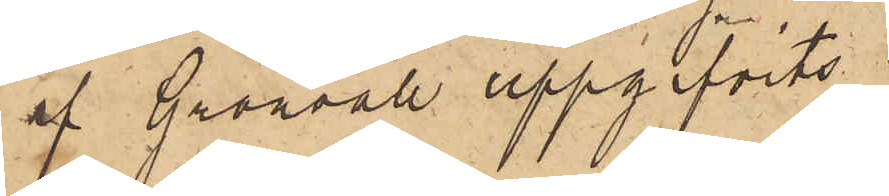af Grönvall uppgifvits;
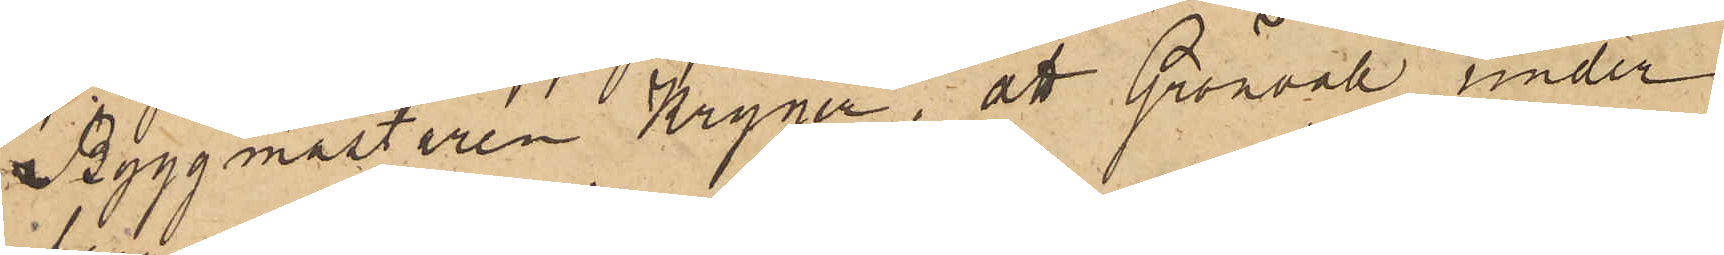Byggmästaren Kryger, att Grönvall under
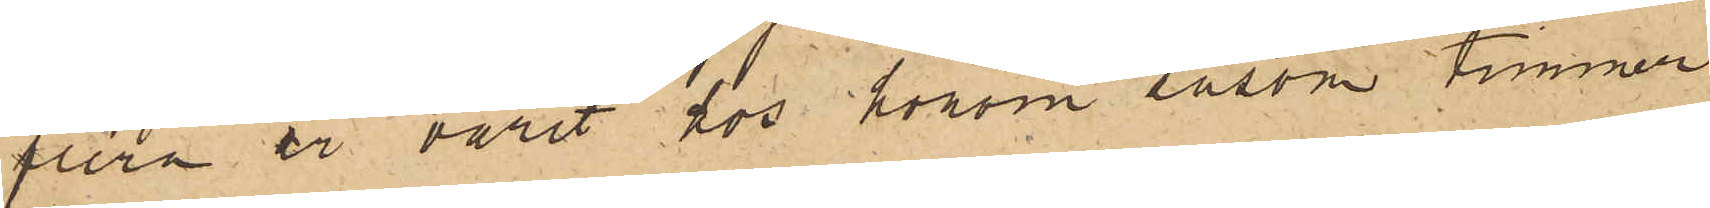flera år varit hos honom såsom timmer¬
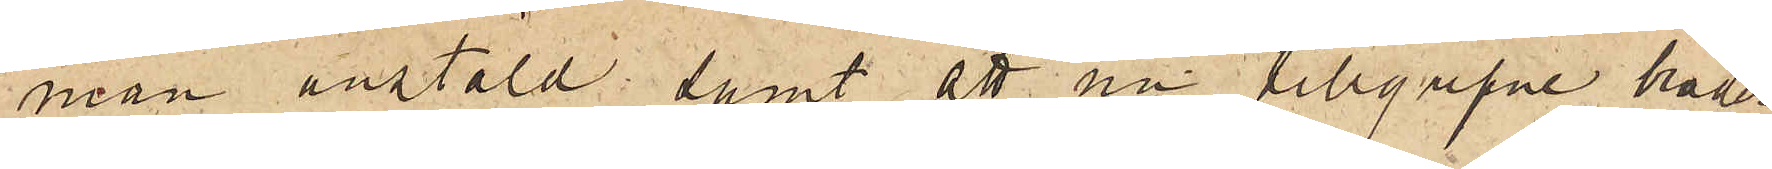man anstäld; samt att nu tillgripne bräder
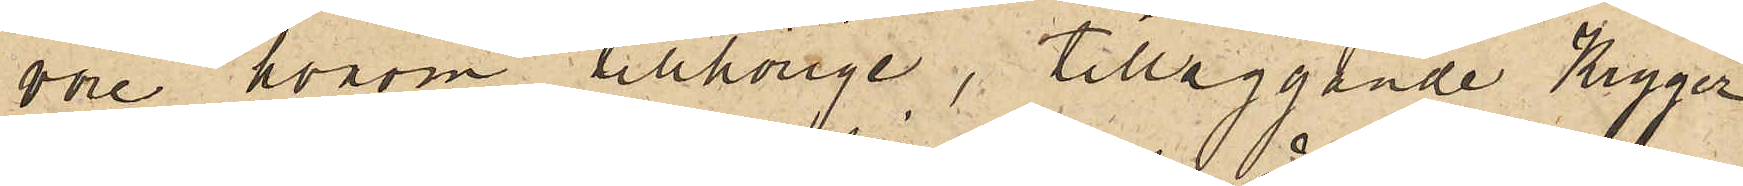vore honom tillhörige, tilläggande Kryger
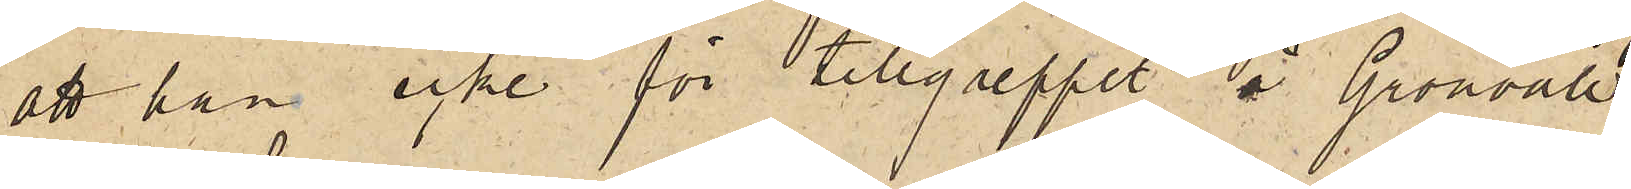att han icke för tillgreppet å Grönvall
